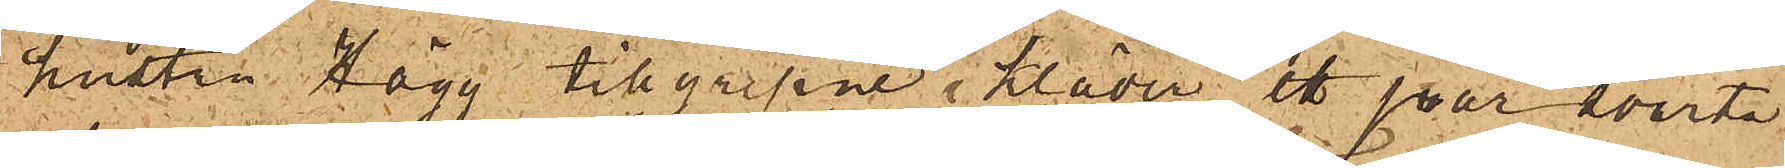hustru Hägg tillgripne kläder ett par svarta
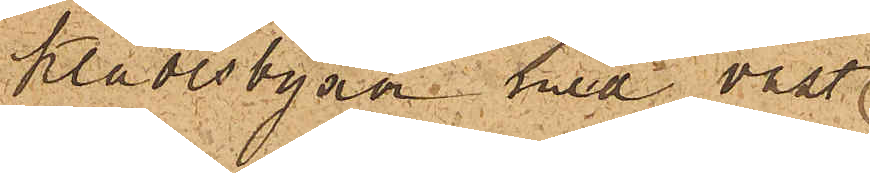klädesbyxor med väst,
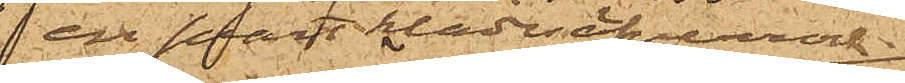 en svart klädesöfverrock
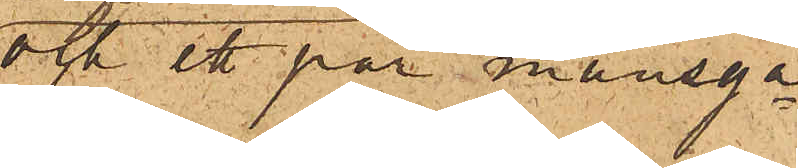och ett par mansga¬
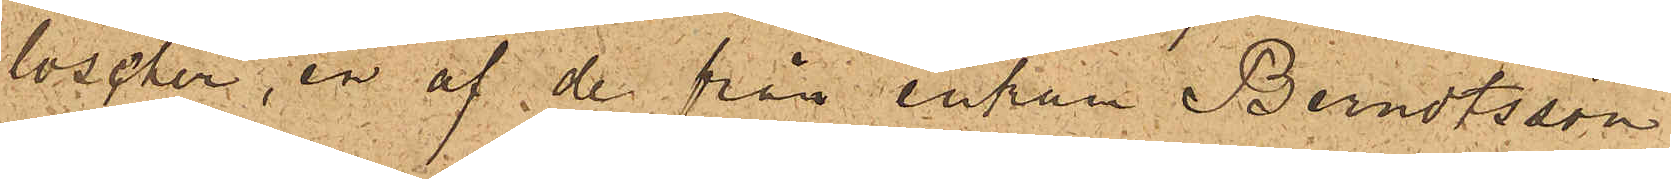loscher, en af de från enkan Berndtsson
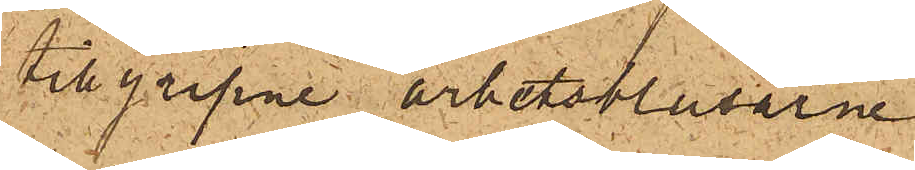tillgripne arbetsblusarne
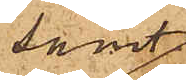samt
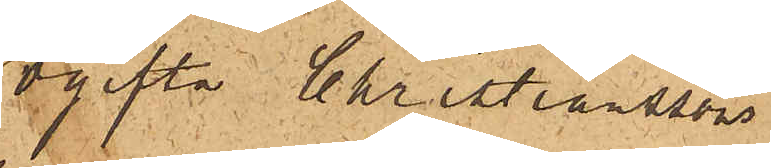ogifta Christianssons
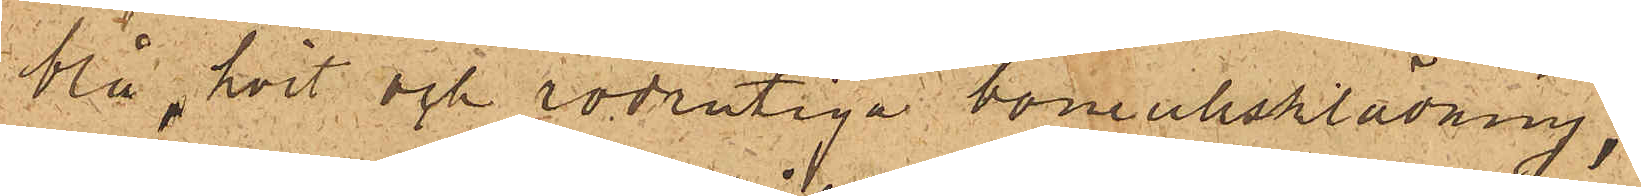blå, hvit och rödrutiga bomullsklädning;
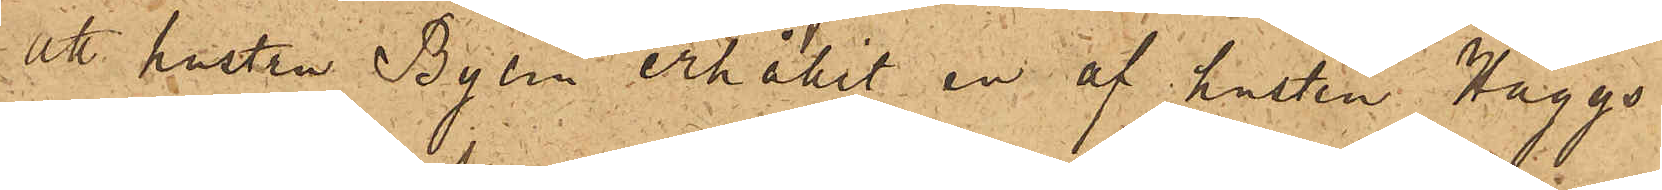att hustru Bylin erhållit en af hustru Häggs
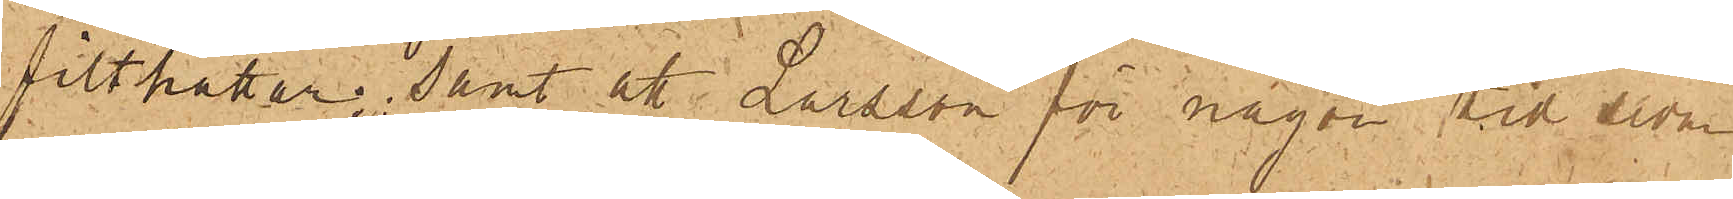filthattar; samt att Larsson för någon tid sedan
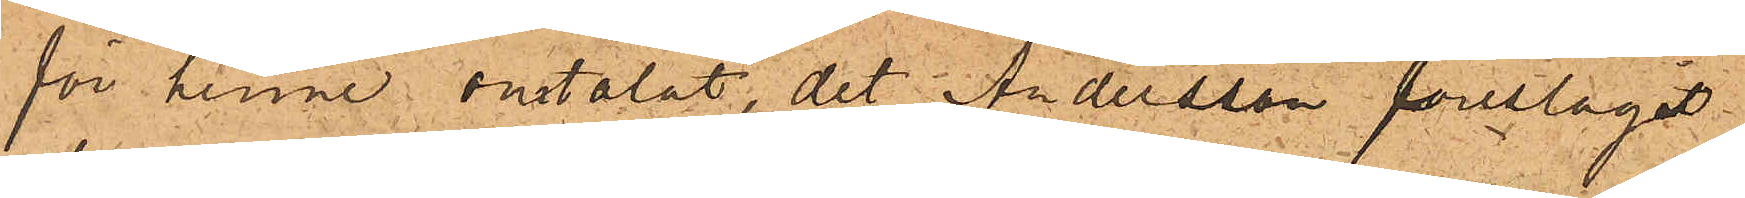för henne omtalat, det Andersson föreslagit
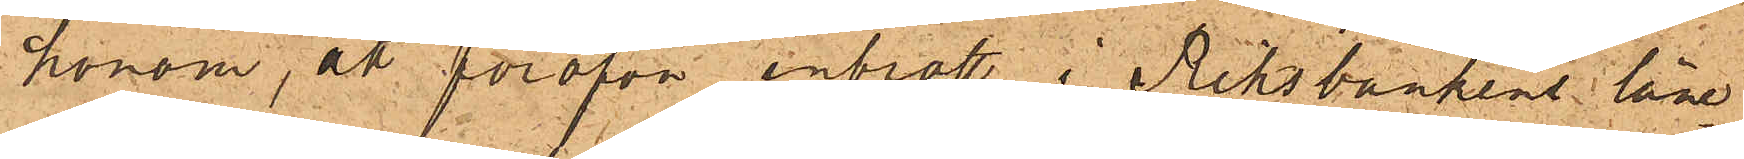honom, att föröfva inbrott i Riksbankens låne¬
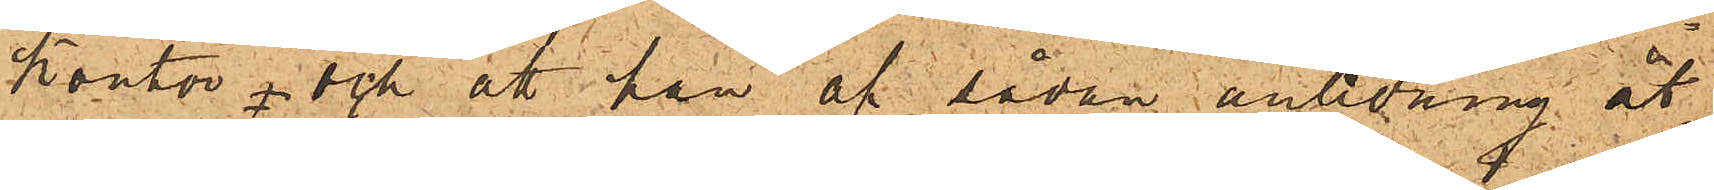kontor och att han af sådan anledning åt¬
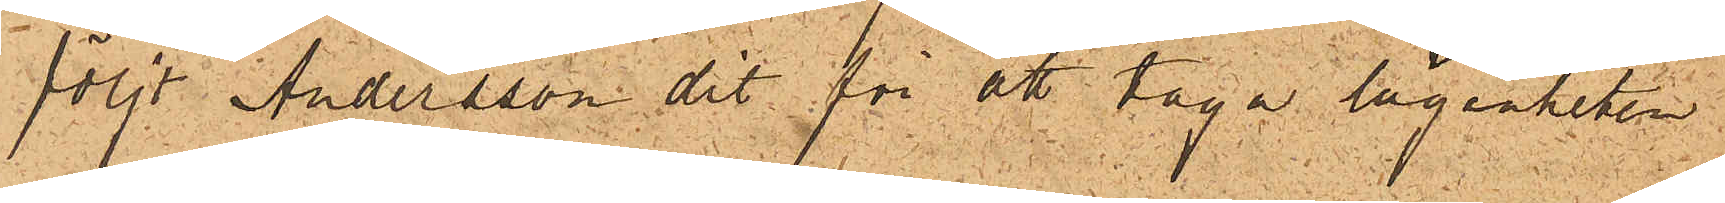följt Andersson dit för af taga lägenheten
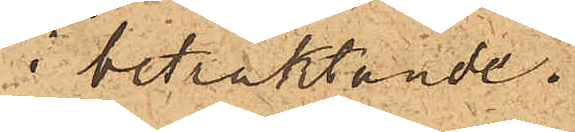i betraktande.
